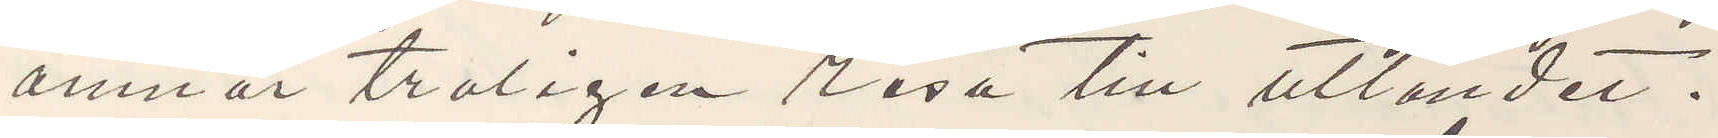ämnar troligen resa till utlandet.
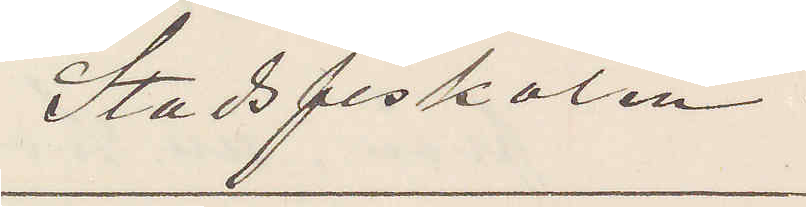Stadsfiskalen.
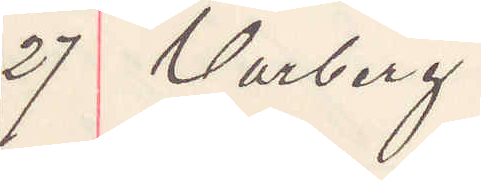27 Varberg
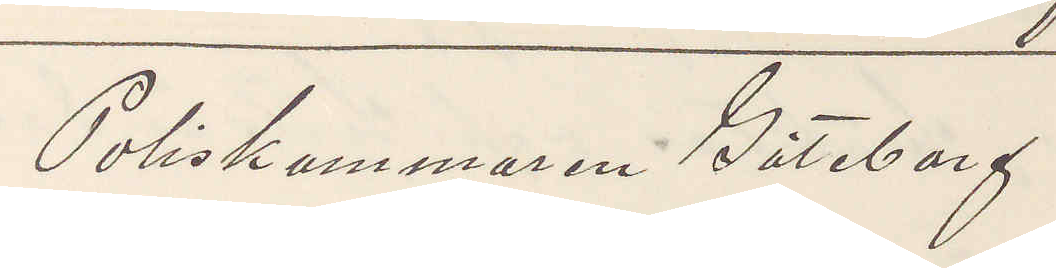Poliskammaren Göteborg
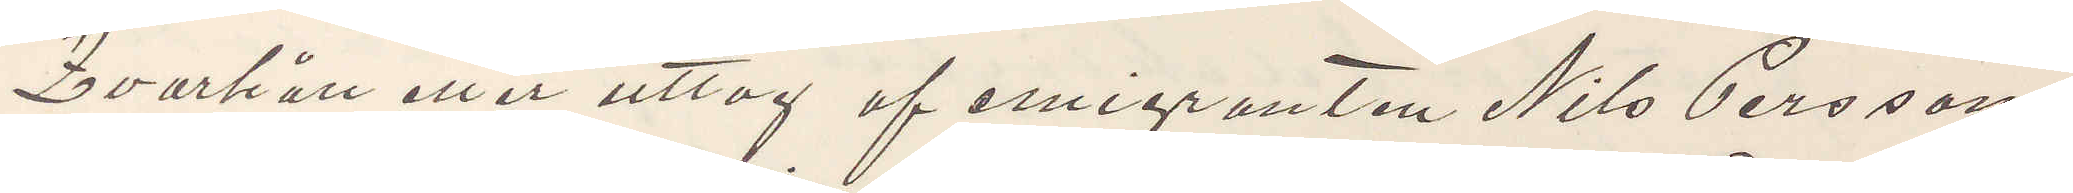Qvarhåll eller uttag af emigranten Nils Persson
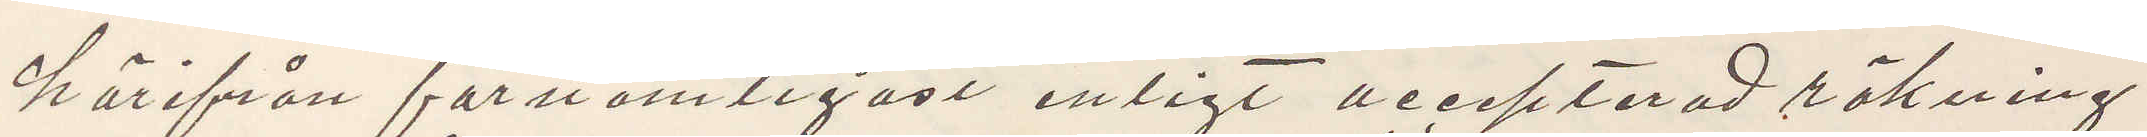härifrån förnämligast enligt accepterad räkning
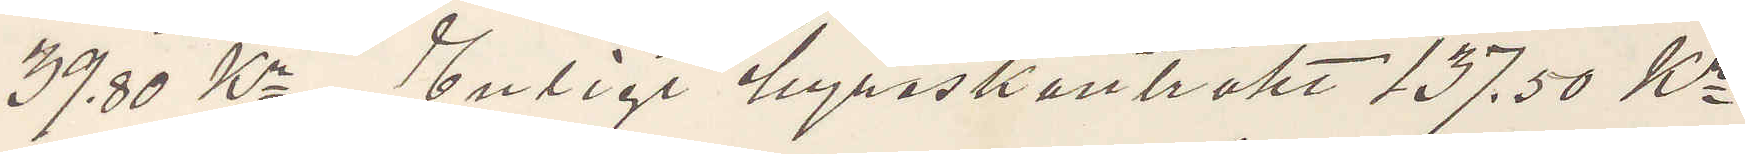39,30 Kr Enligt hyreskontrakt 137,50 Kr
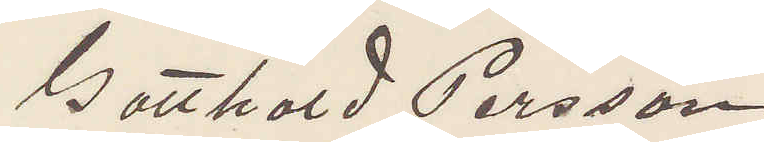Gotthard Persson
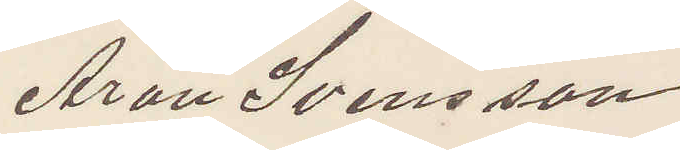Aron Svensson
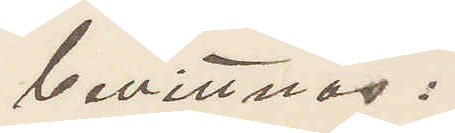bevittnas:
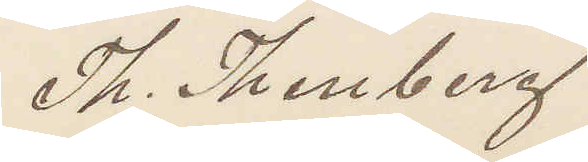Th. Thenberg
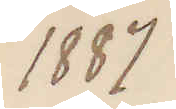1887
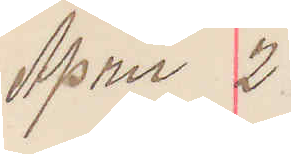April 2
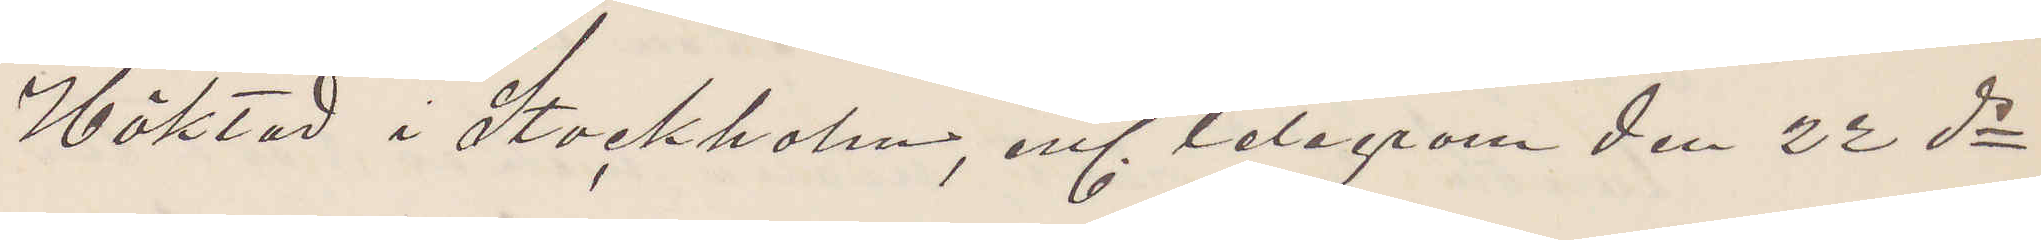Häktad i Stockholm, enl. Telegram den 22 ds
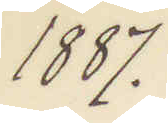1887.
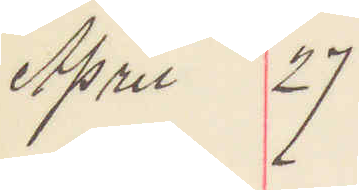April 27
